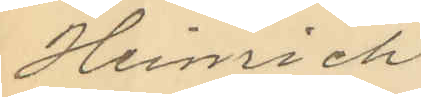Heinrich
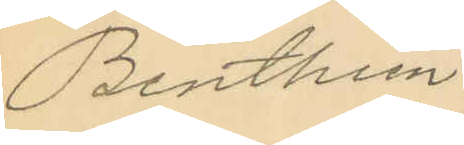Benthien
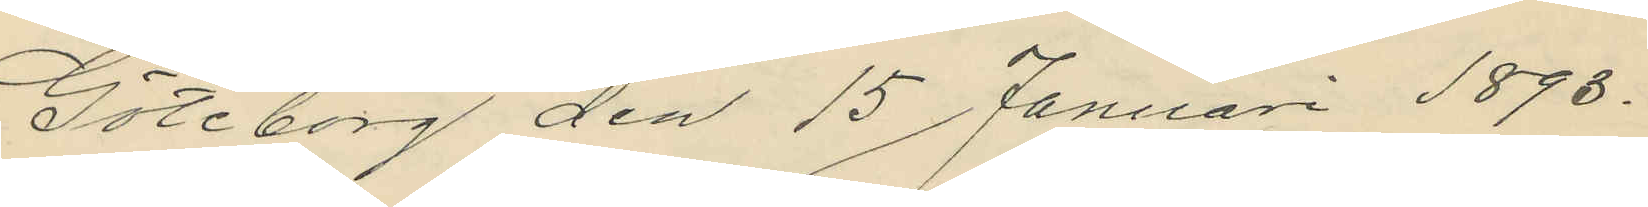Göteborg den 15 Januari 1893.
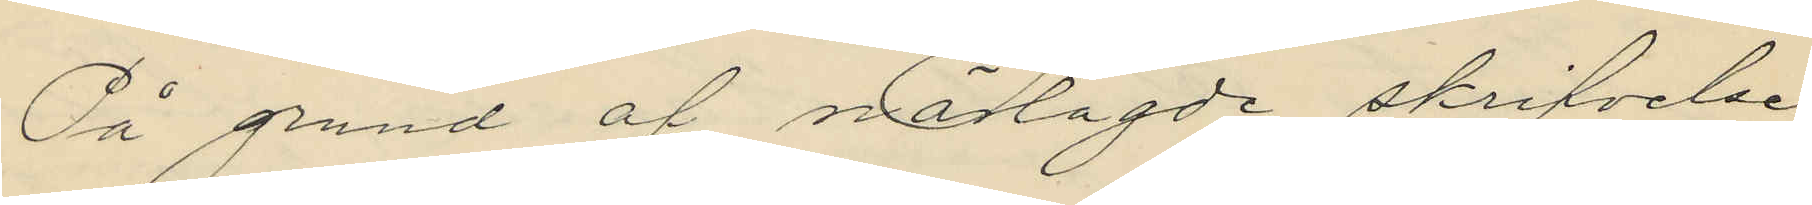På grund af närlagde skrifvelse
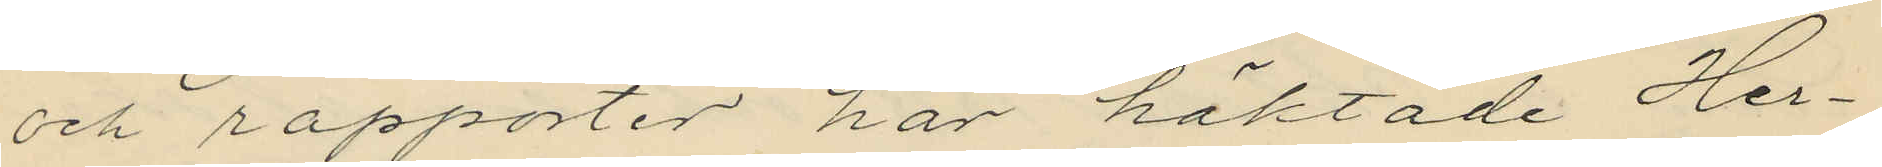och rapporter har häktade Her¬
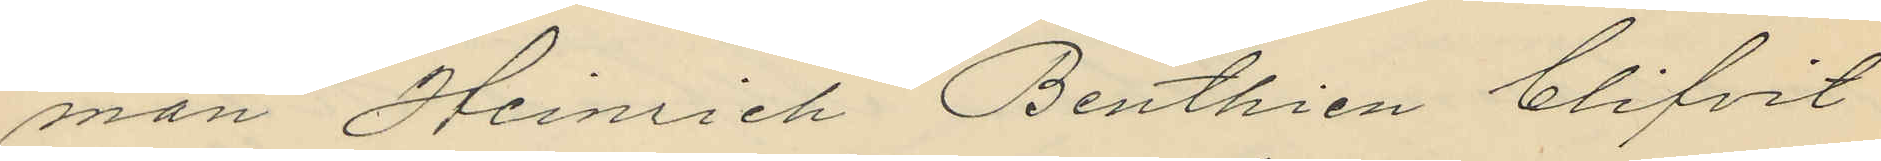man Heinrich Benthien blifvit
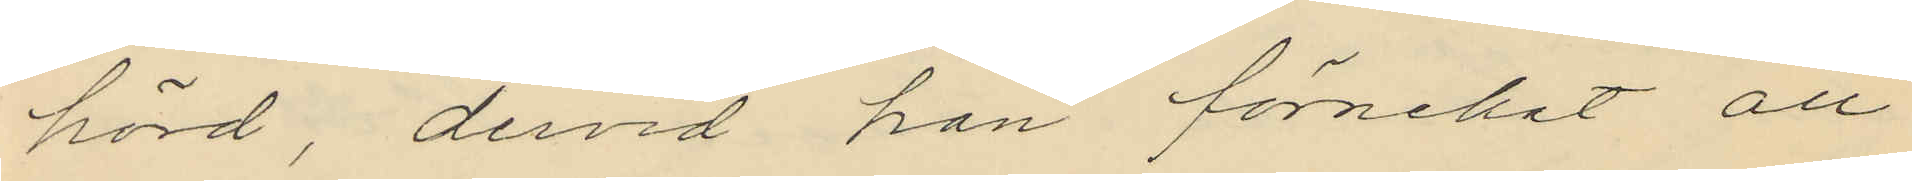hörd, dervid han förnekat all
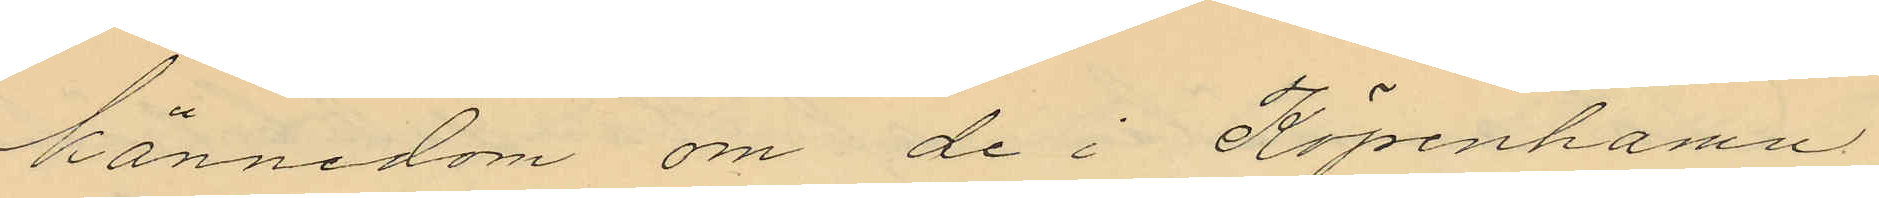kännedom om de i Köpenhamn
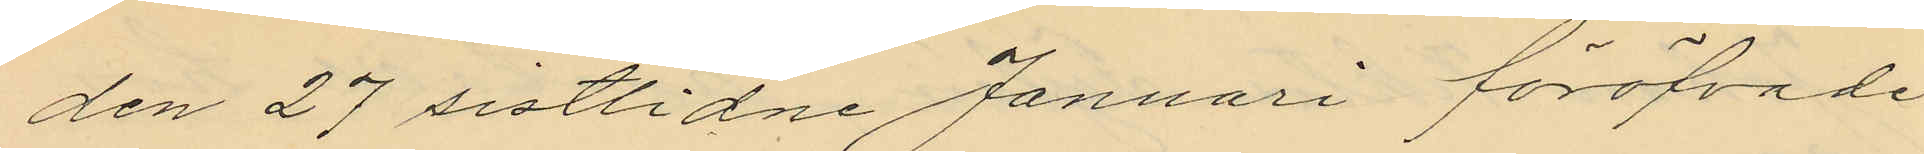den 27 sistlidne Januari föröfvade
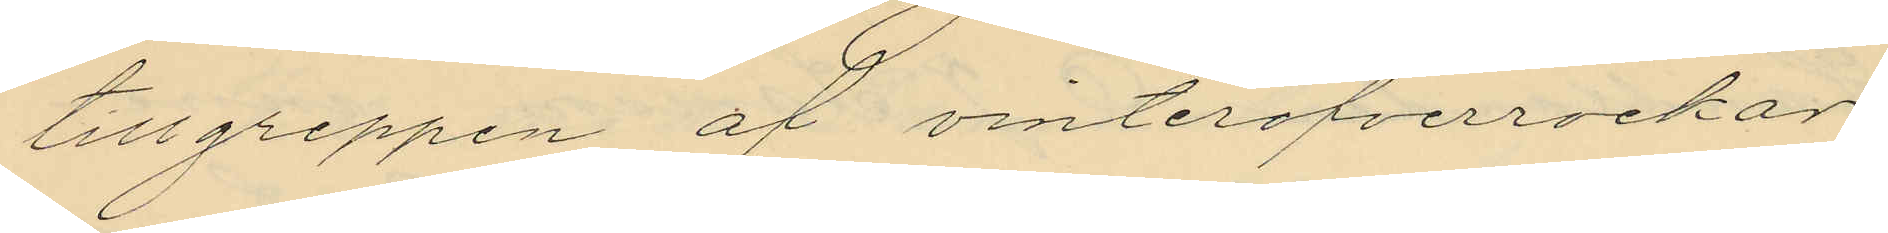tillgreppen af vinteröfverrockar,
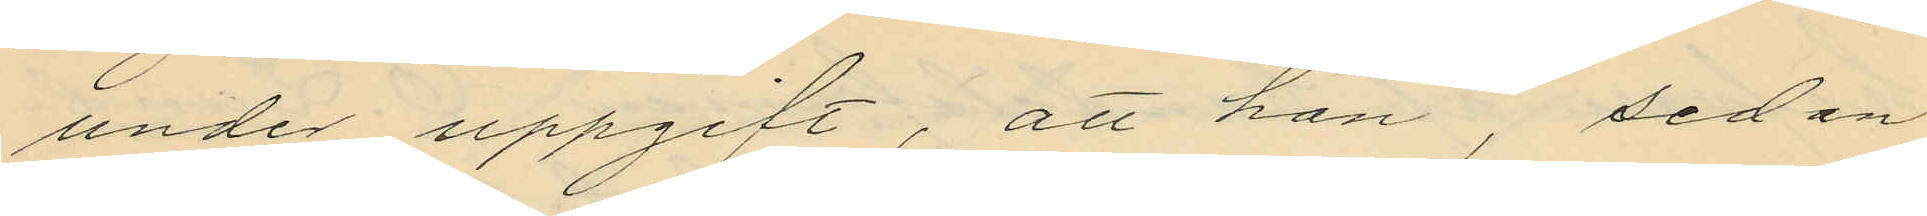under uppgift, att han, sedan
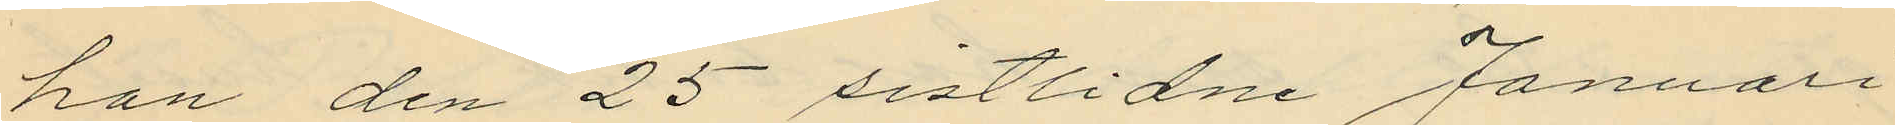han den 25 sistlidne Januari
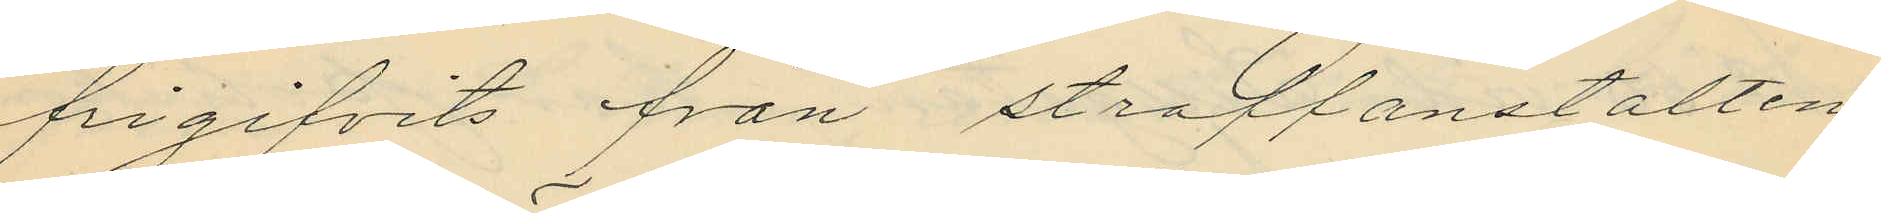frigifvits från straffanstalten
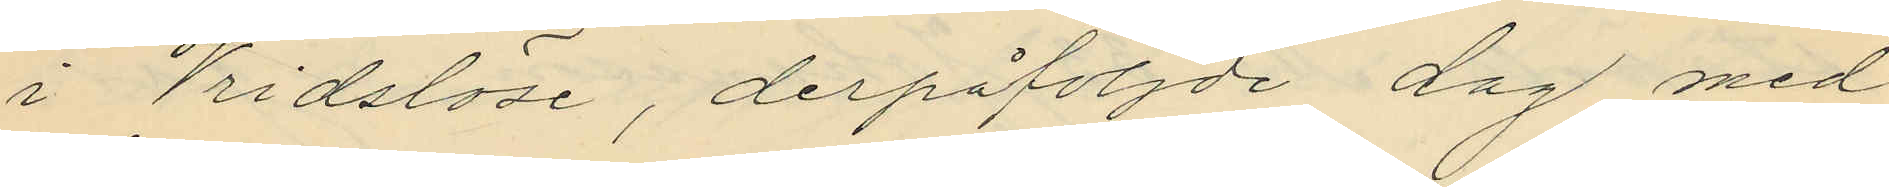i Vridslöse, derpåföljde dag med
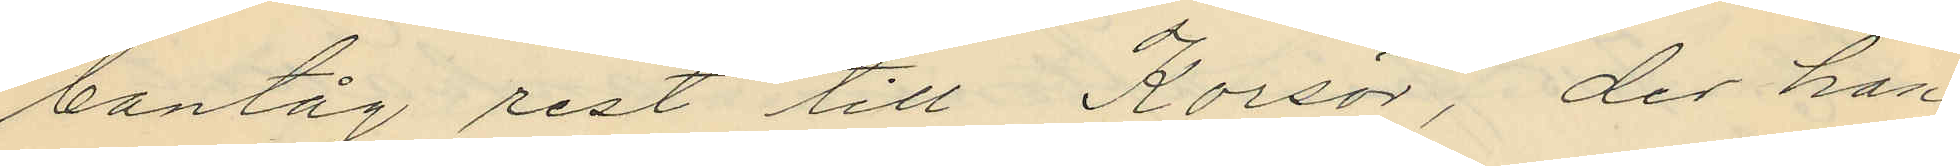bantåg rest till Korsör, der han
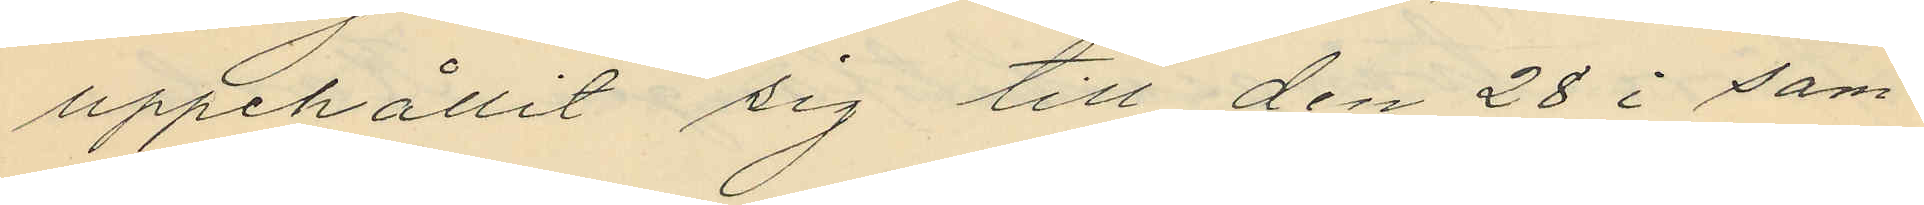uppehållit sig till den 28 i sam¬
